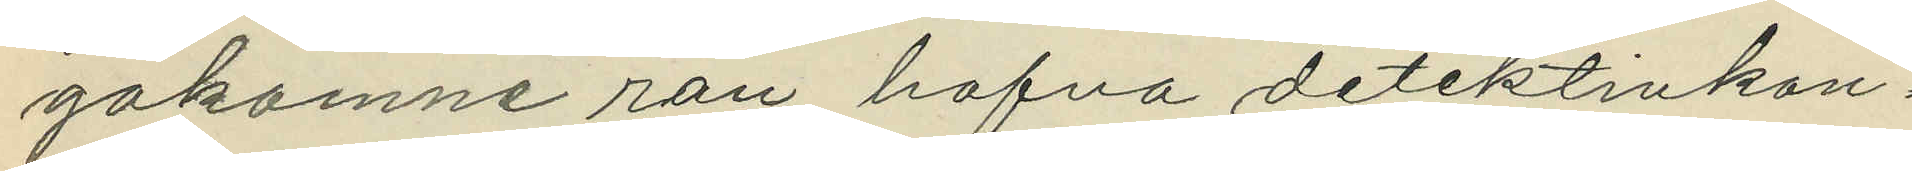gakomne rån, hafva detektivkon¬
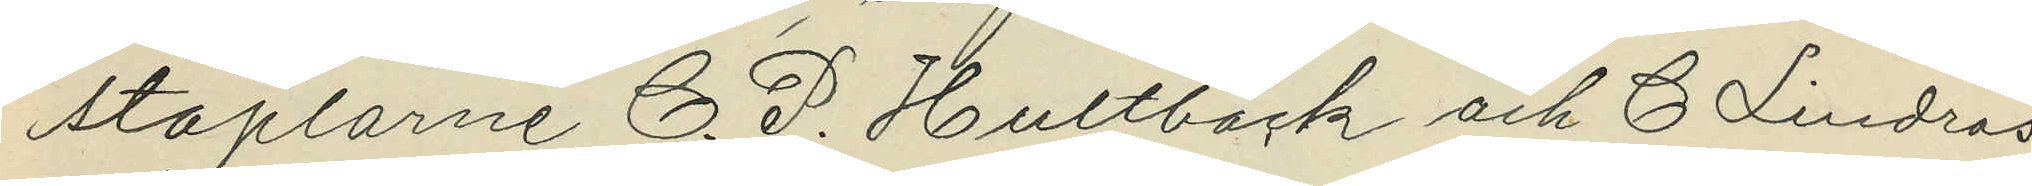staplarne C. P. Hultbäck och C. Lindros
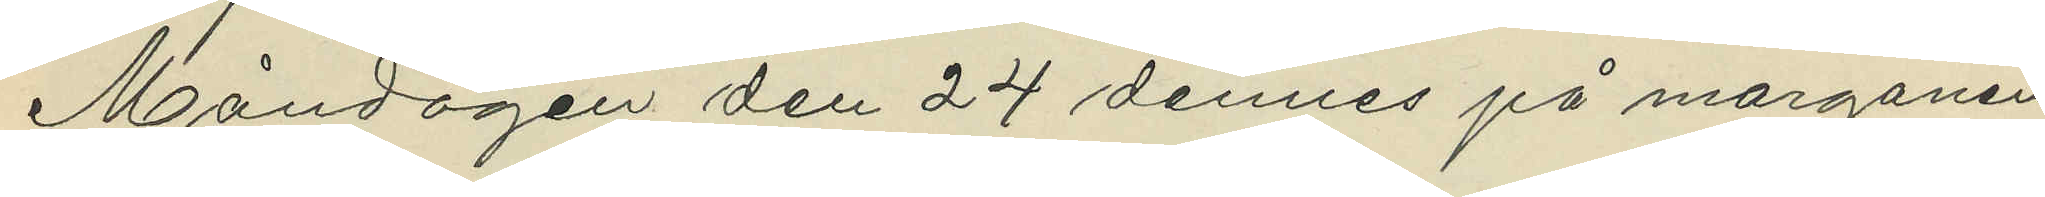Måndagen den 24 dennes på morgonen
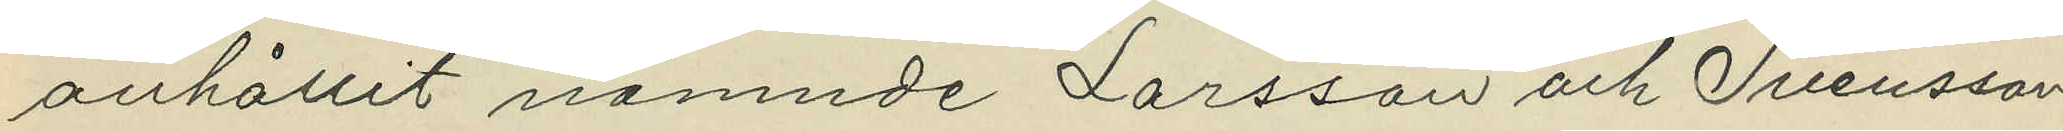anhållit nämnde Larsson och Svensson,
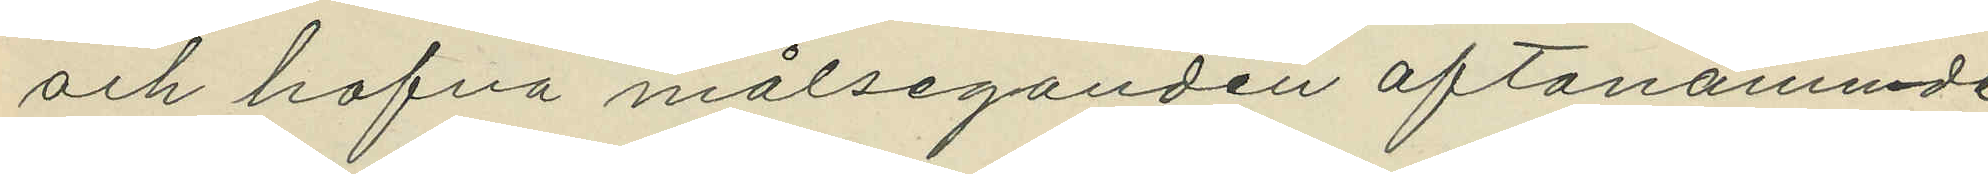och hafva målseganden oftanämnde
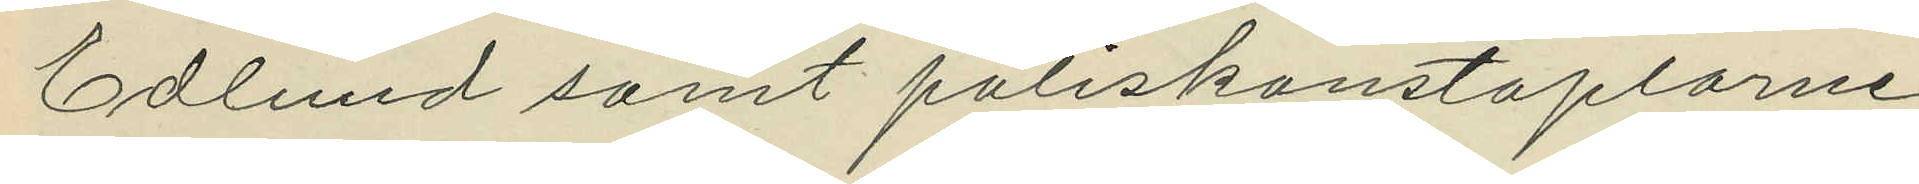Edlund samt poliskonstaplarne
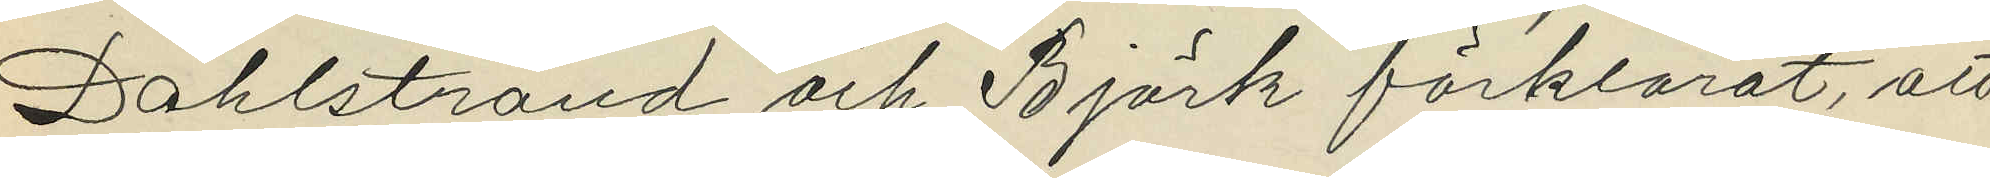Dahlstrand och Björk förklarat, att
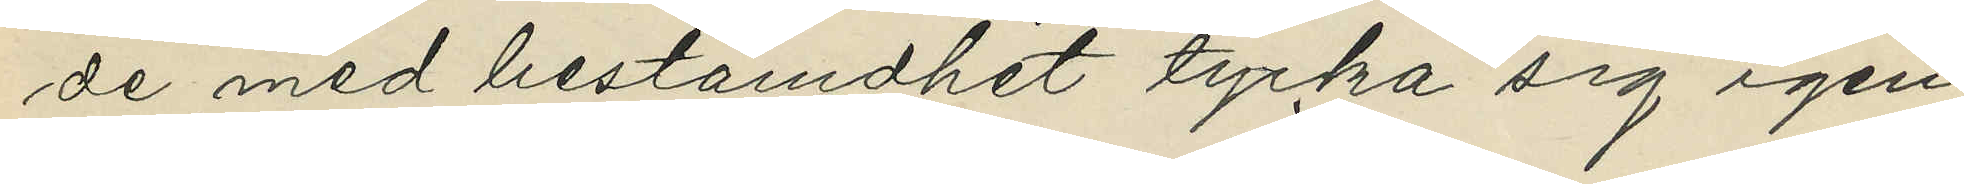de med bestämdhet tycka sig igen¬
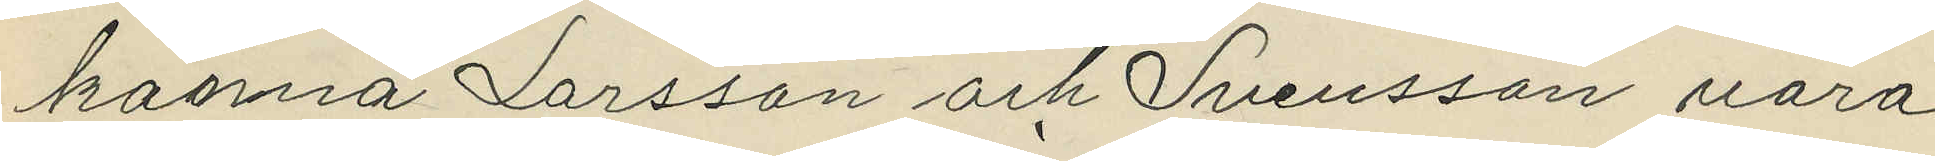känna Larsson och Svensson vara
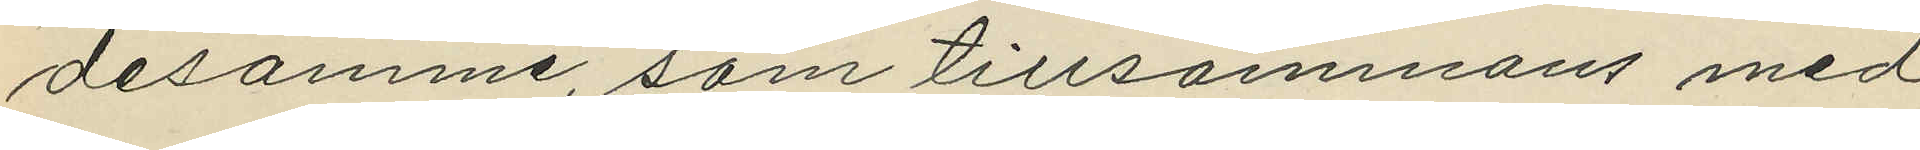desamme, som tillsammans med
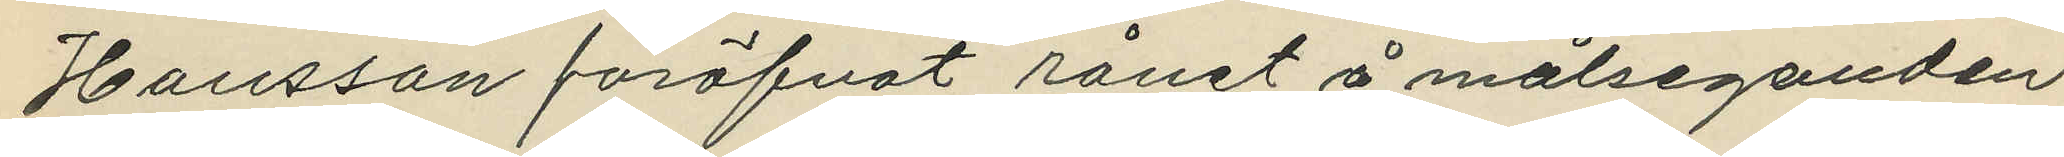Hansson föröfvat rånet å målseganden.
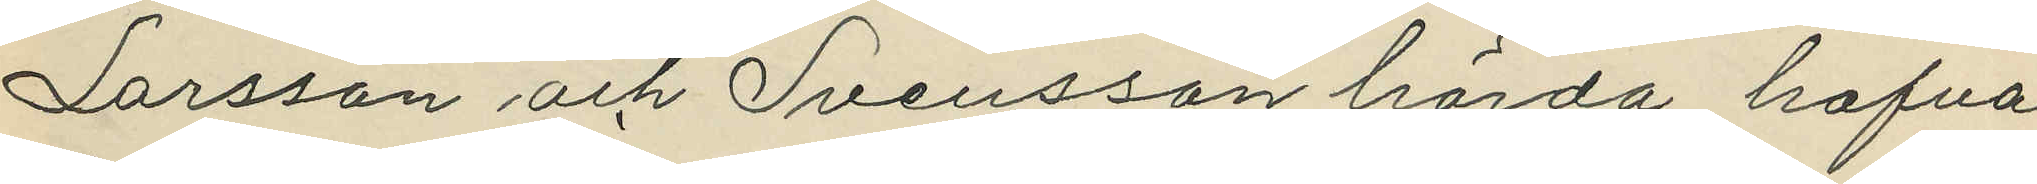Larsson och Svensson hörda hafva
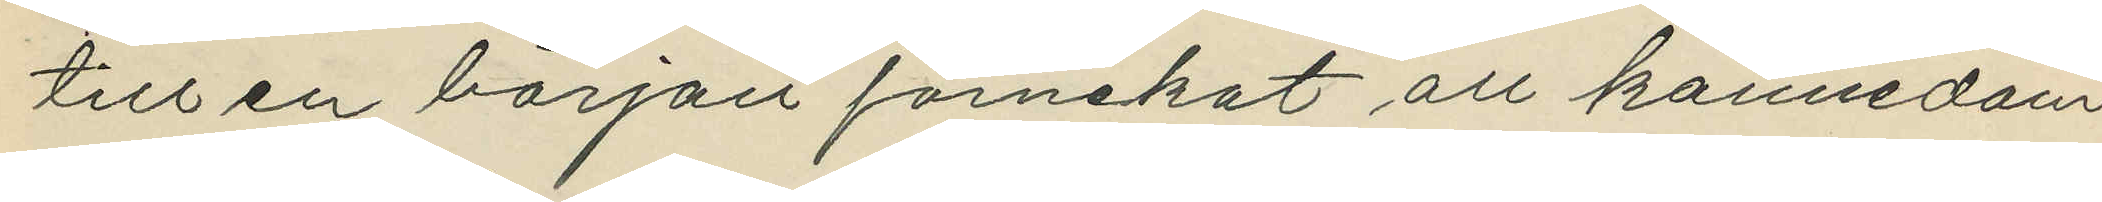till en början förnekat all kännedom
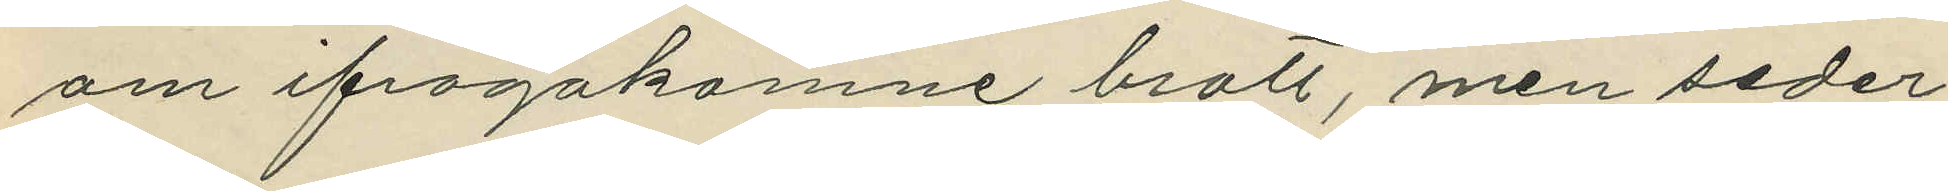om ifrågakomne brott, men seder¬
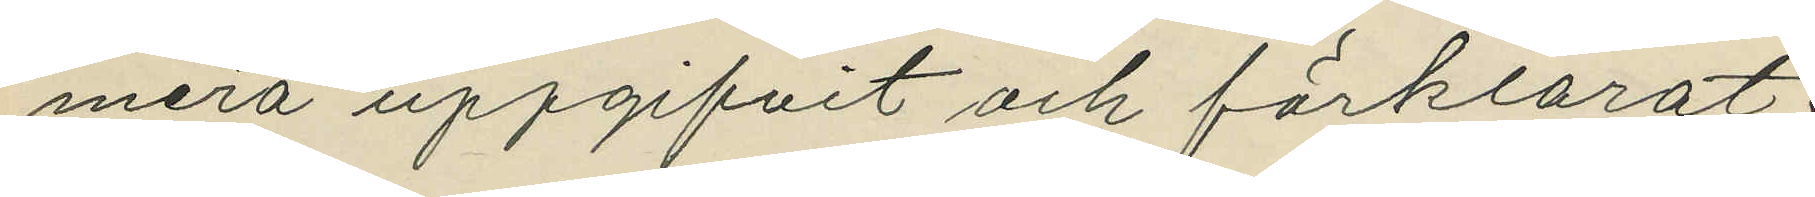mera uppgifvit och förklarat:
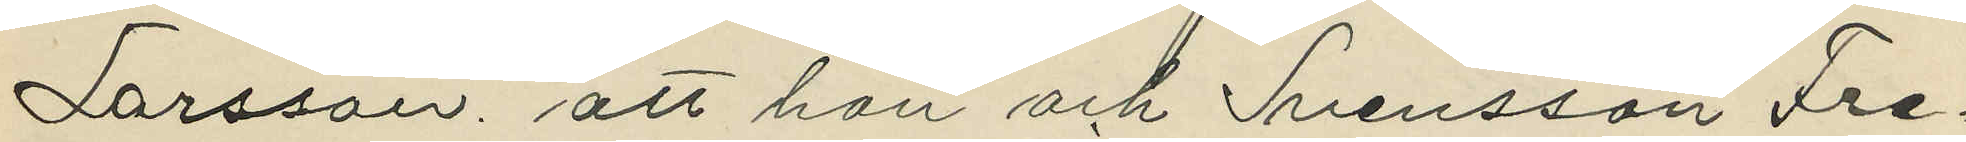Larsson, att han och Svensson Fre¬
